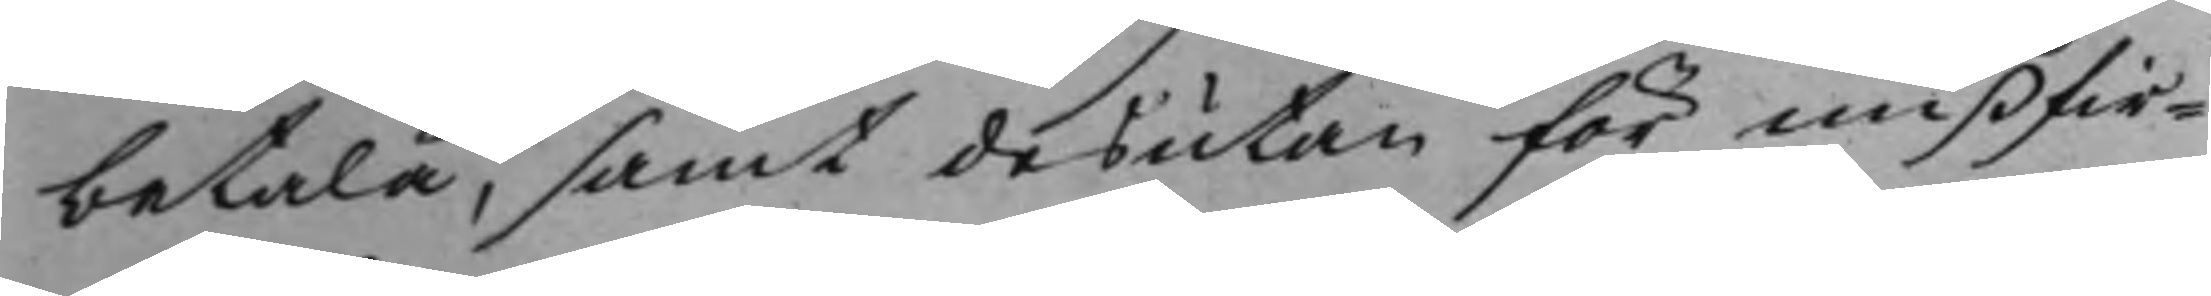betala, samt desutan för mißfir¬
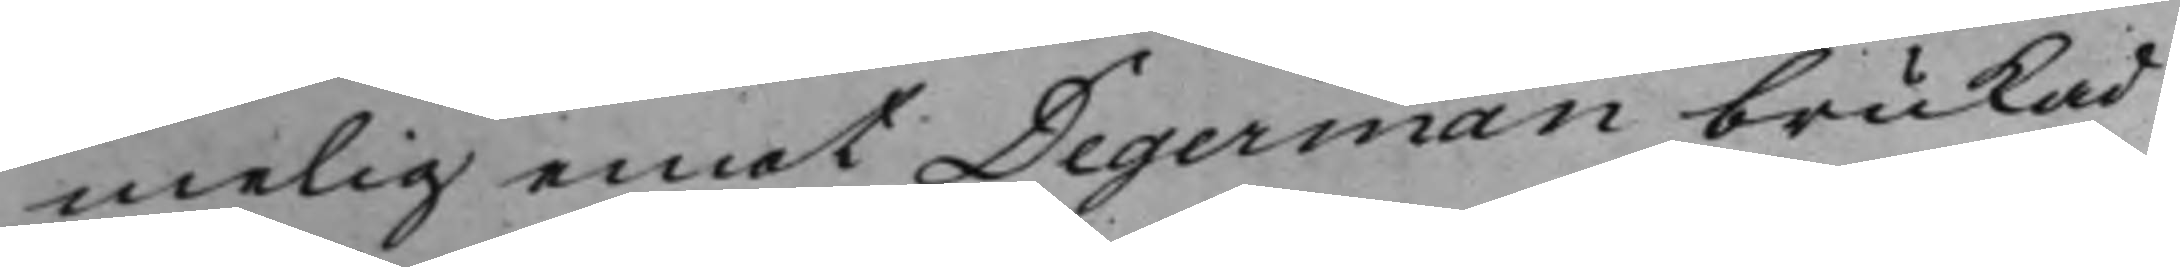melig emot Degerman berukad
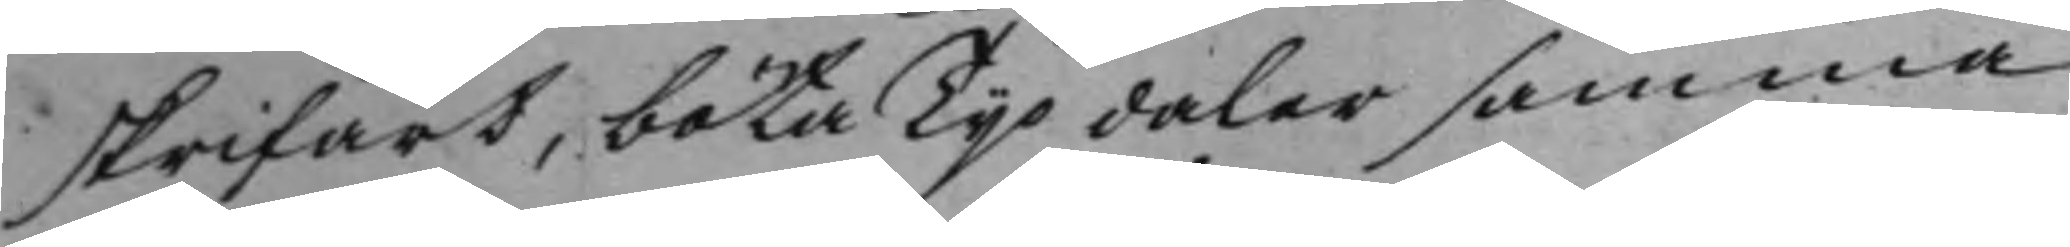skrifart, böta Tijo daler samma
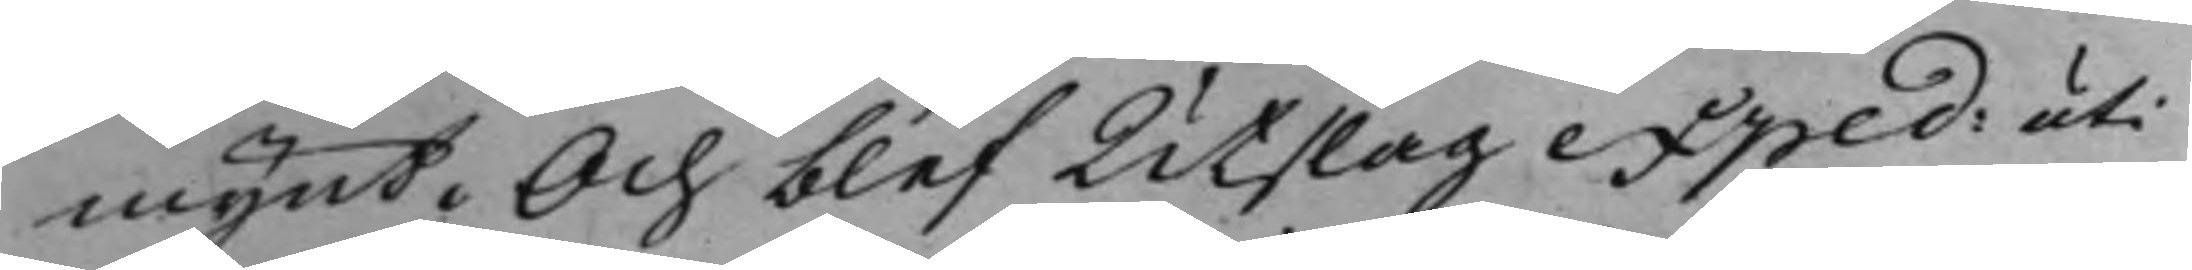mynt. Och blev Utslag exped: uti
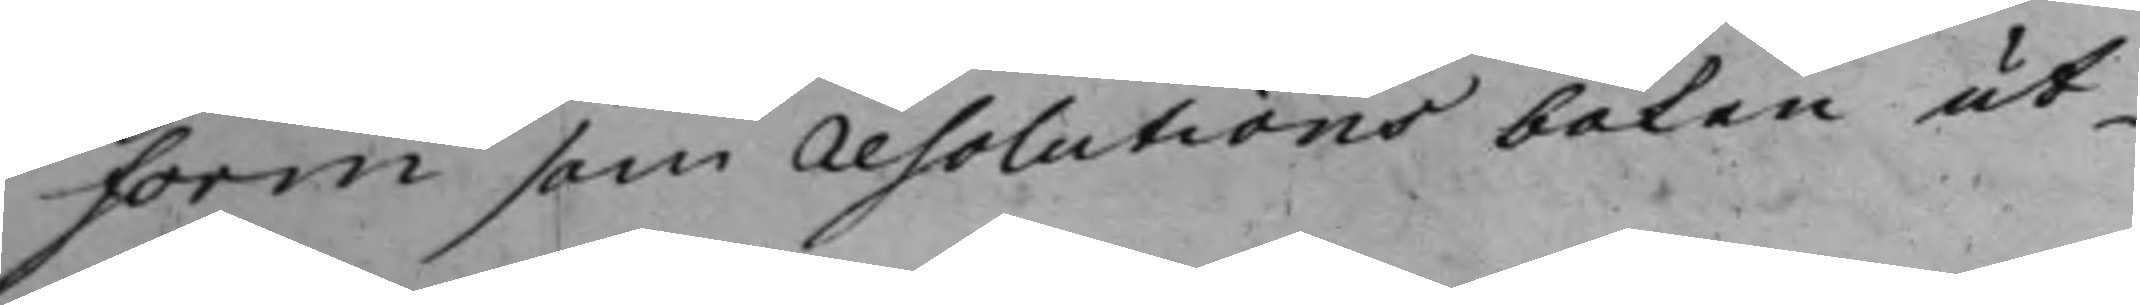Form som resolutions boken ut¬
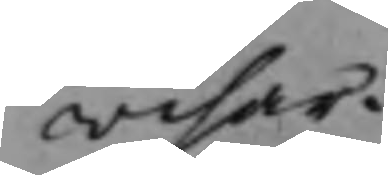wisar.
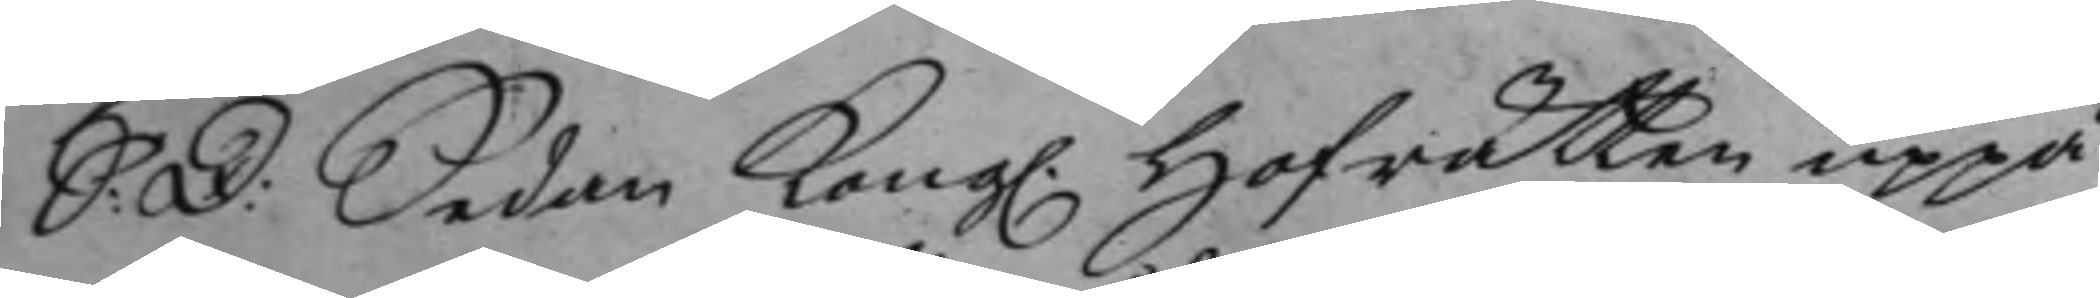S: D: Sedan Kong. Hofrätten uppå
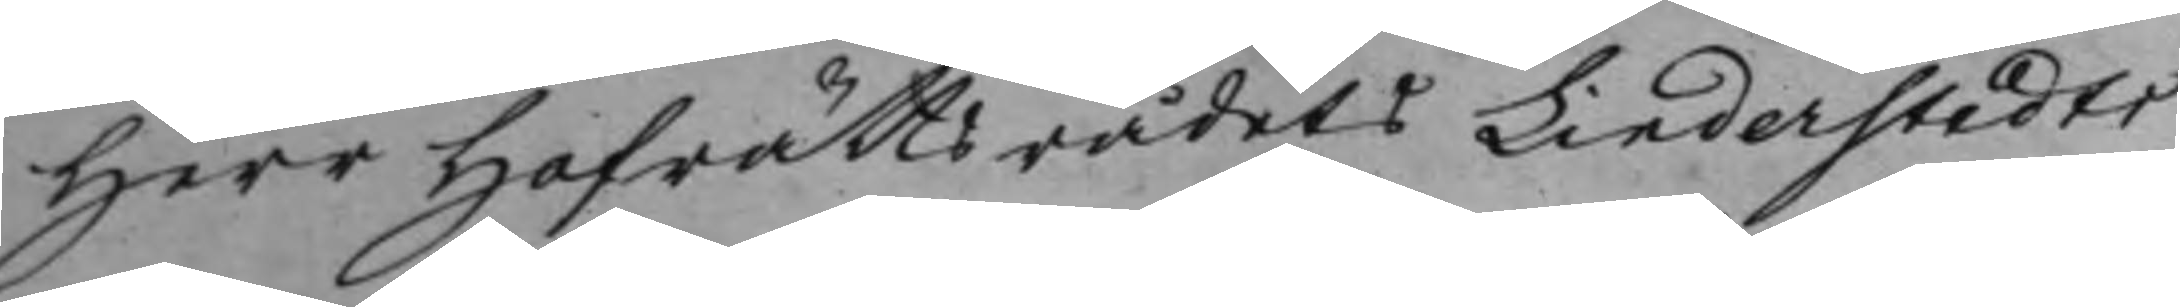Herr Hofrättsrådets Linderstedts
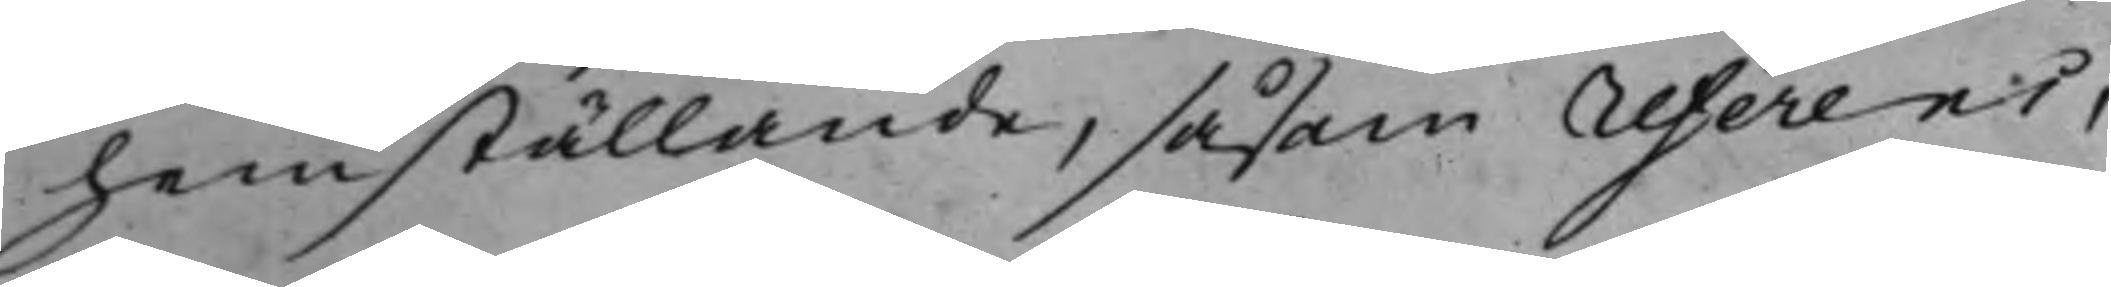hemställande, såsom referens,
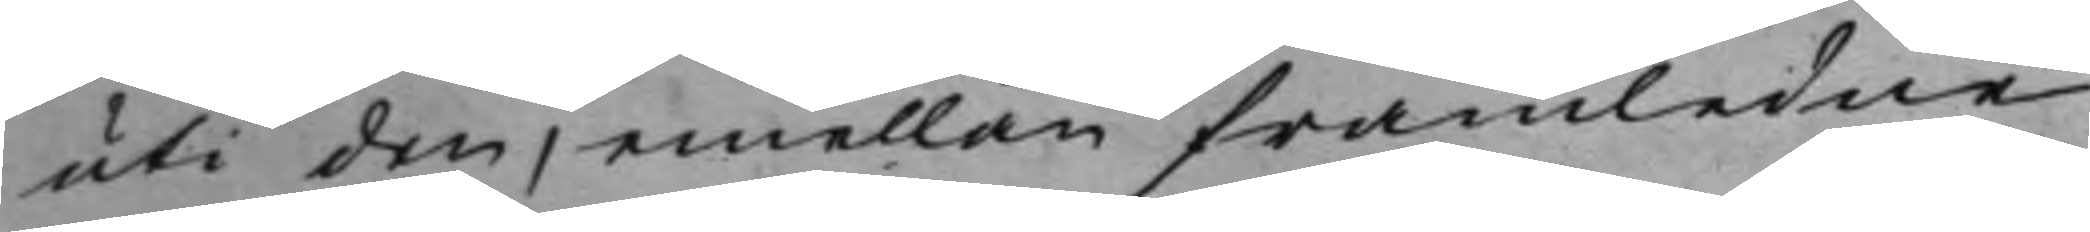uti den, emellan framledne
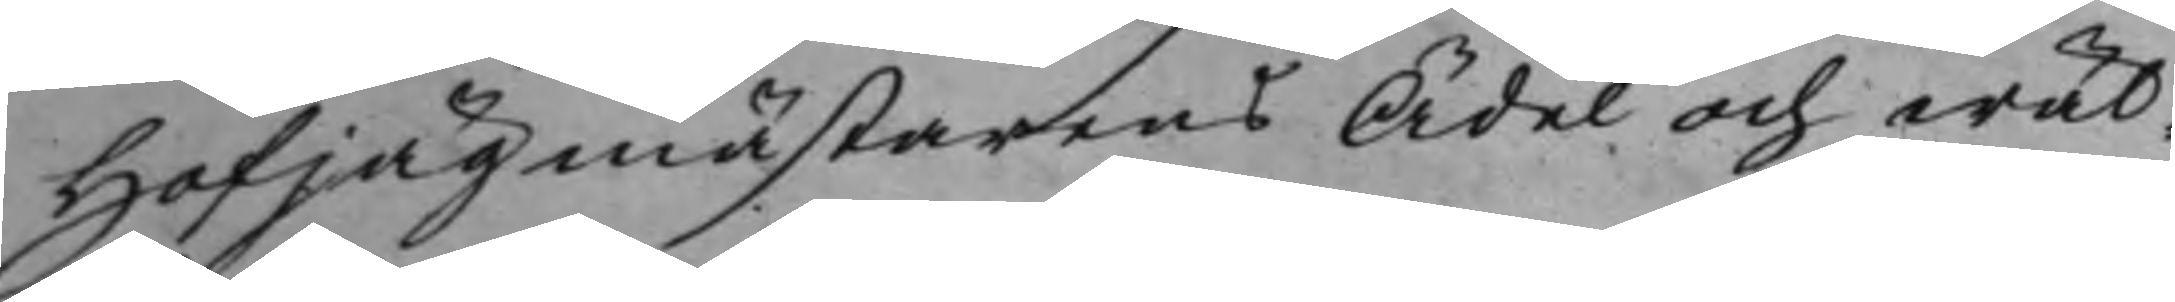Hofjägmästarens Ädel och wäl¬
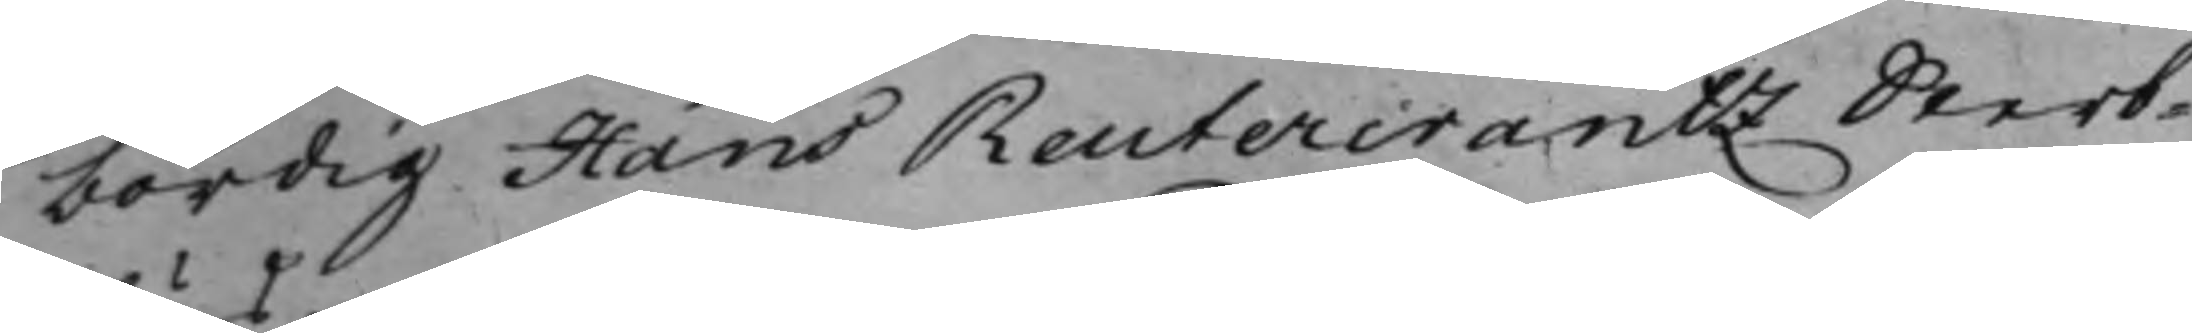bördig Hans Reutercrantz Sterb¬
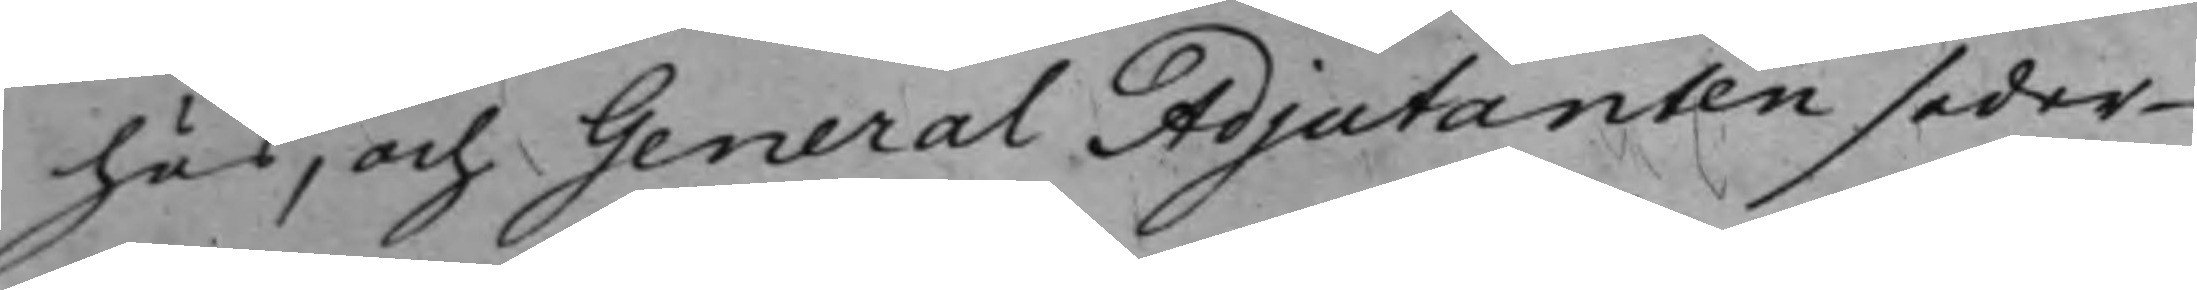hus, och GeneralAdjutanten seder¬
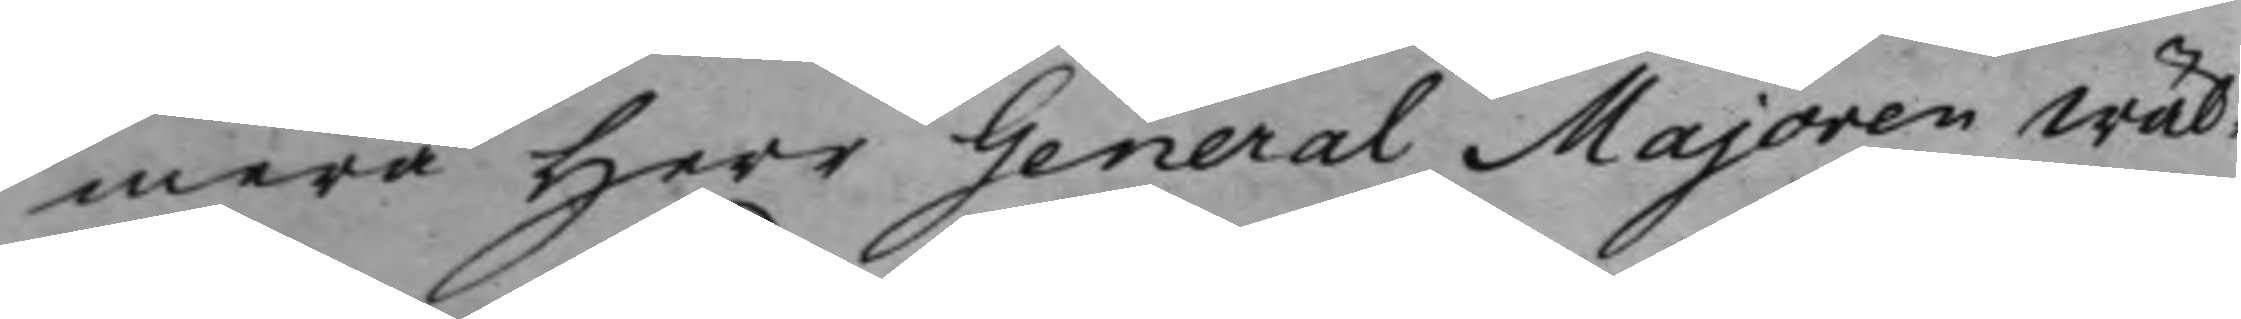mera Herr GeneralMajoren Wäl¬
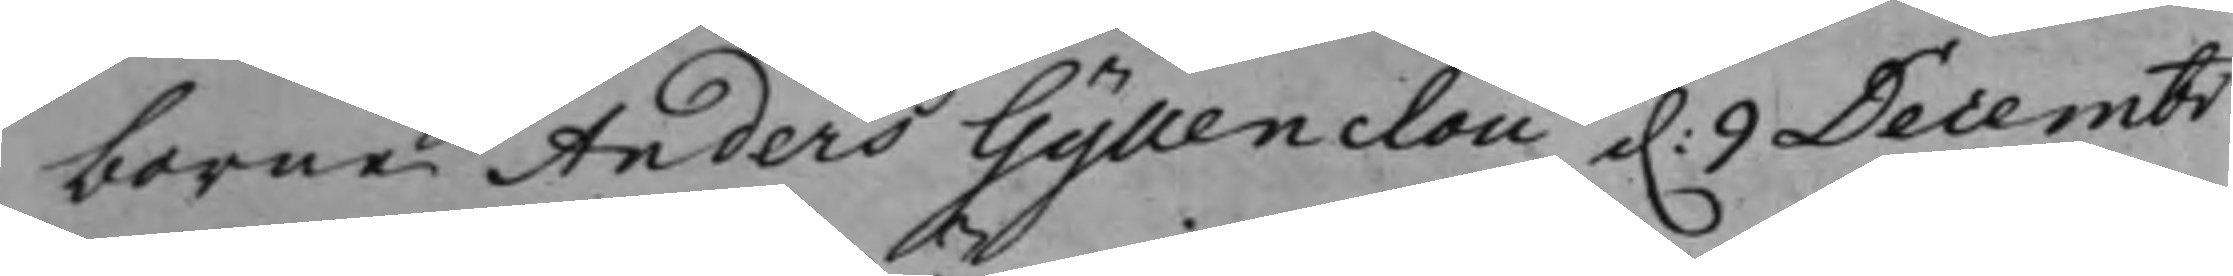borne Anders Gyllenclou d. 9 Decembr
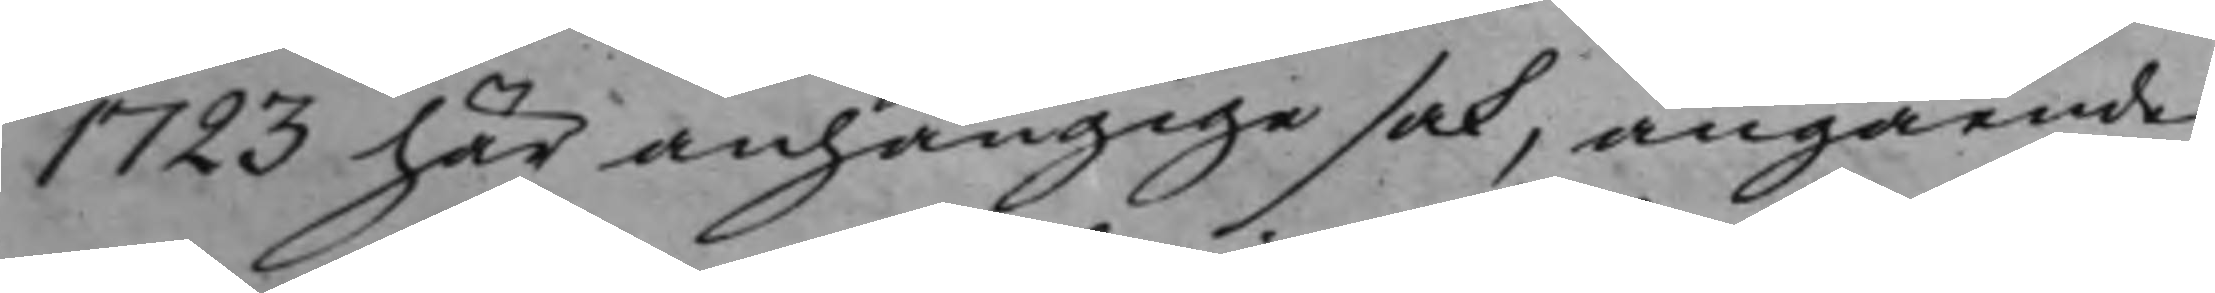1723 här anhängige sak, angående
